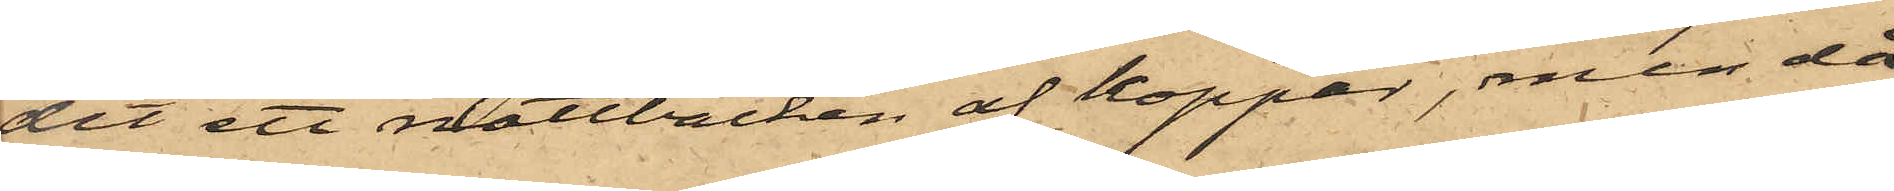dit ett nattbäcken af koppar, men då
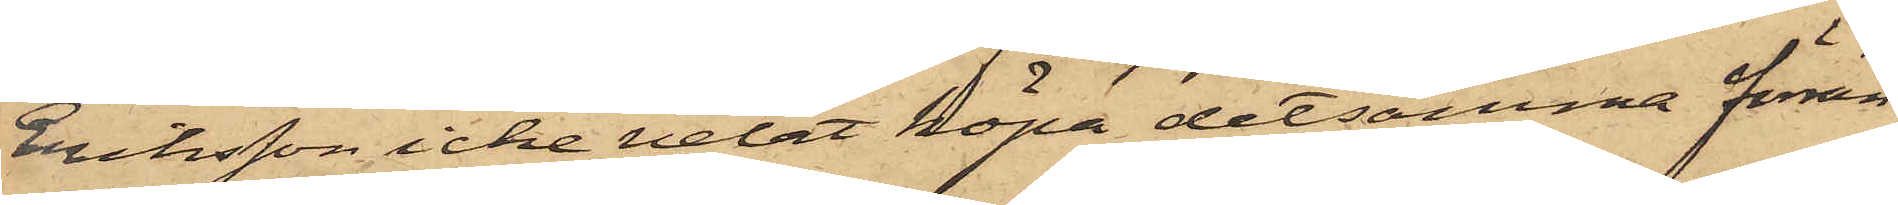Eriksson icke velat köpa detsamma förrän
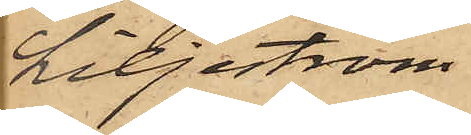Liljeström
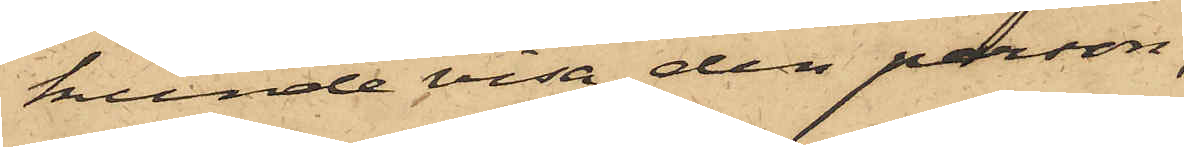kunde visa den person,
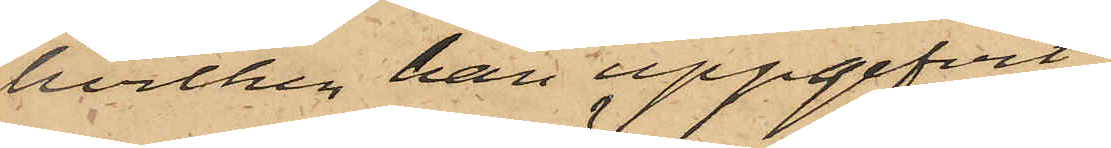hvilken han uppgifvit
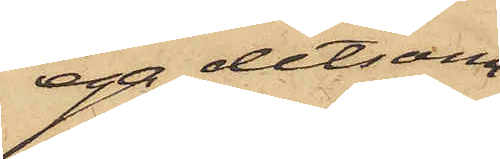ega detsam¬
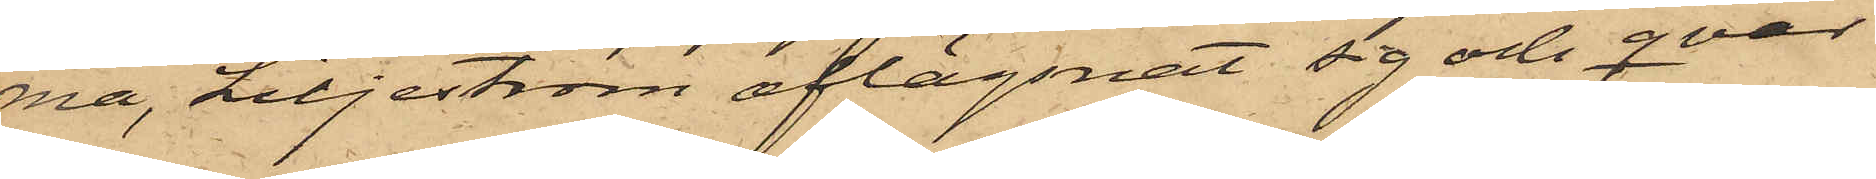ma, Liljeström aflägsnat sig och qvar¬
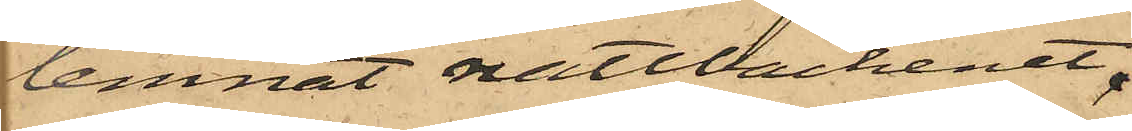lemnat nattbäckenet.
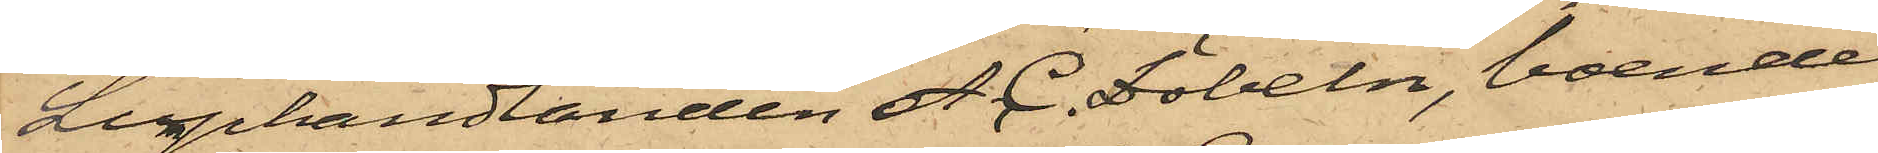Lumphandlanden A. C. Döbeln, boende
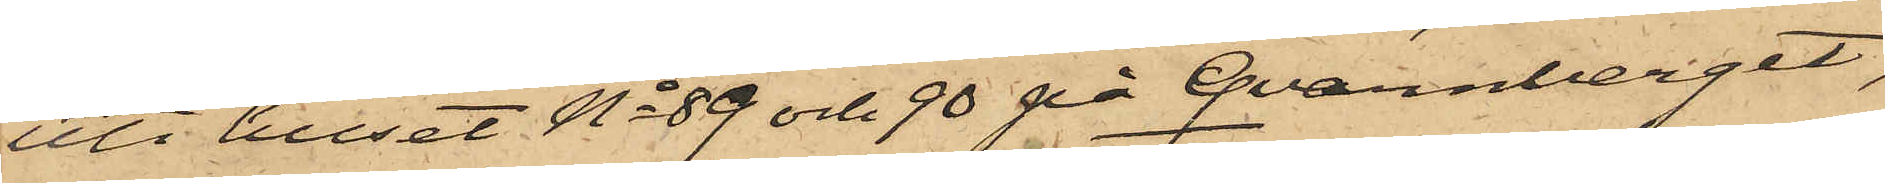uti huset No 89 och 90 på Qvarnberget,
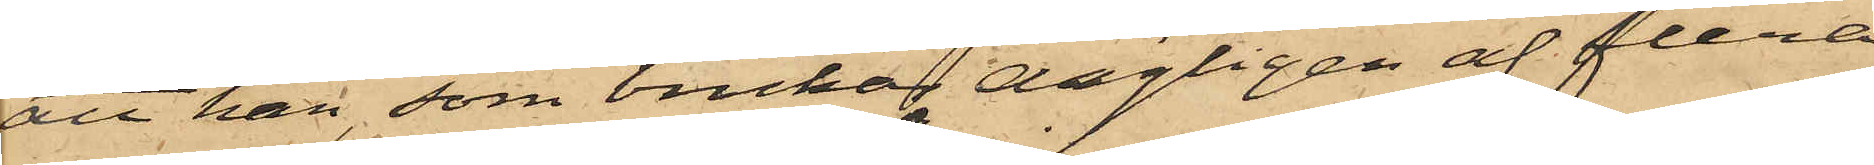att han, som brukar dagligen af flera
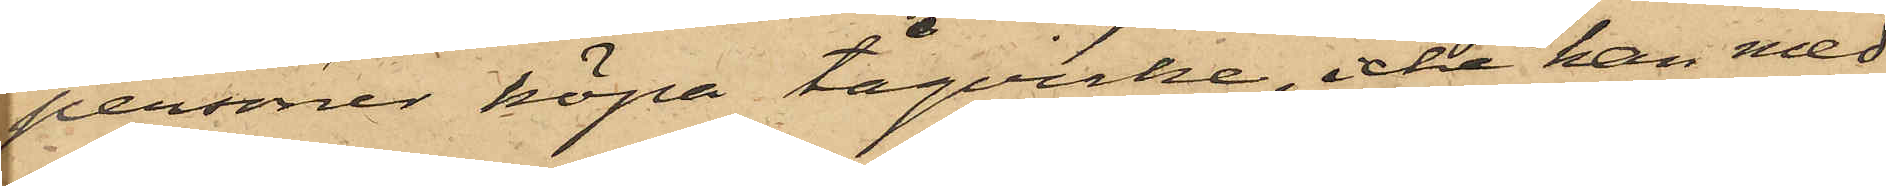personer köpa tågvirke, icke kan med
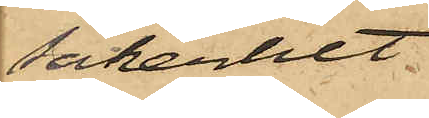säkerhet
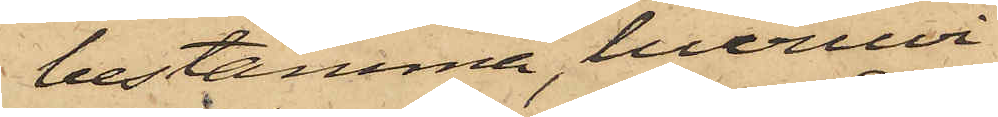bestämma, huruvi¬
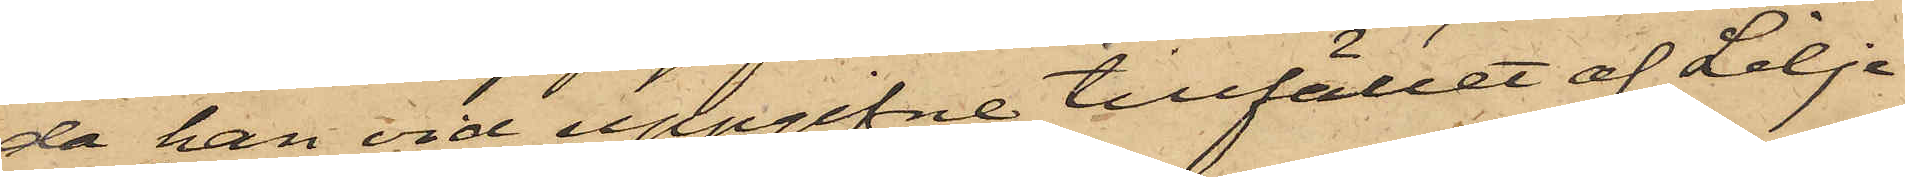då han vid uppgifne tillfället af Lilje¬
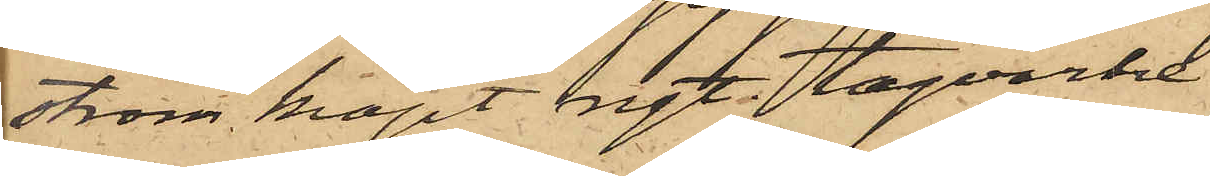ström köpt ngt tågvirke.
